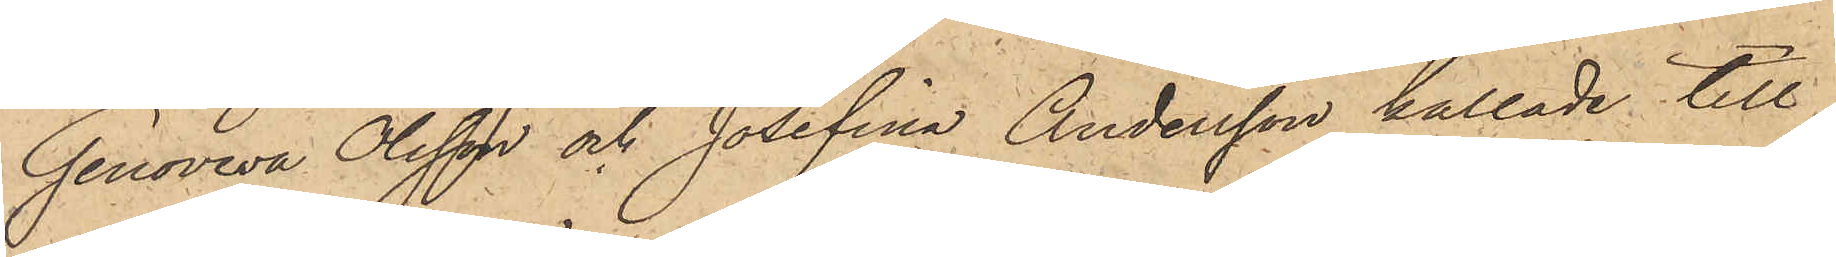Genoveva Olsson och Josefina Andersson kallade till
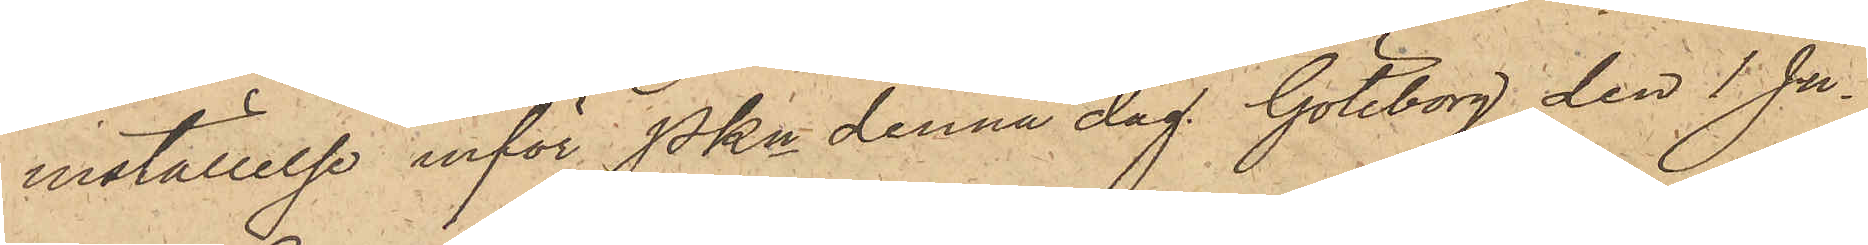inställelse inför Pkn denna dag. Göteborg den 1 Ju¬
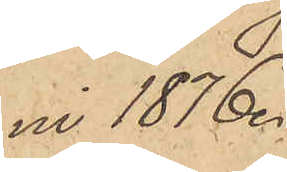ni 1876
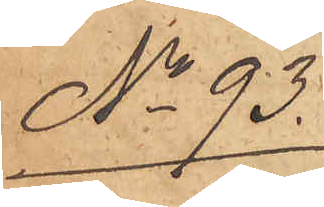No 93.
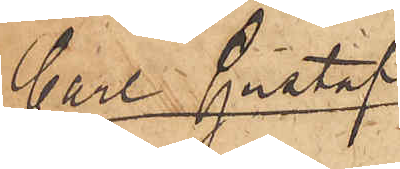Carl Gustaf
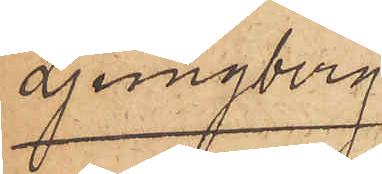Ljungberg
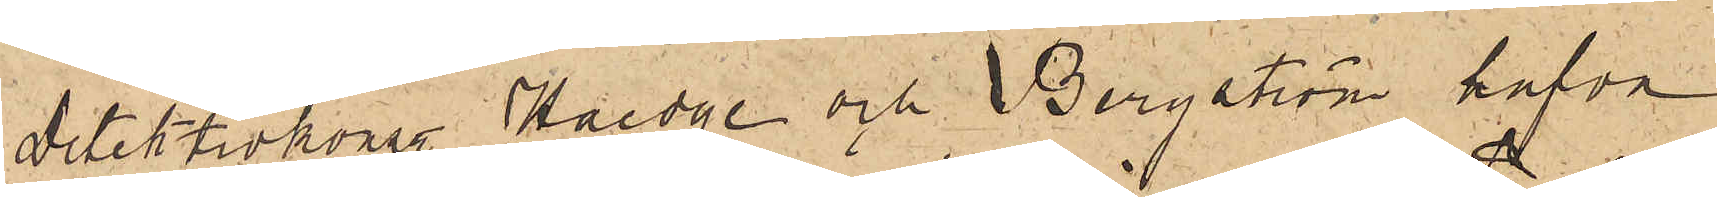Detektivkonst.  Haedge och Bergström hafva
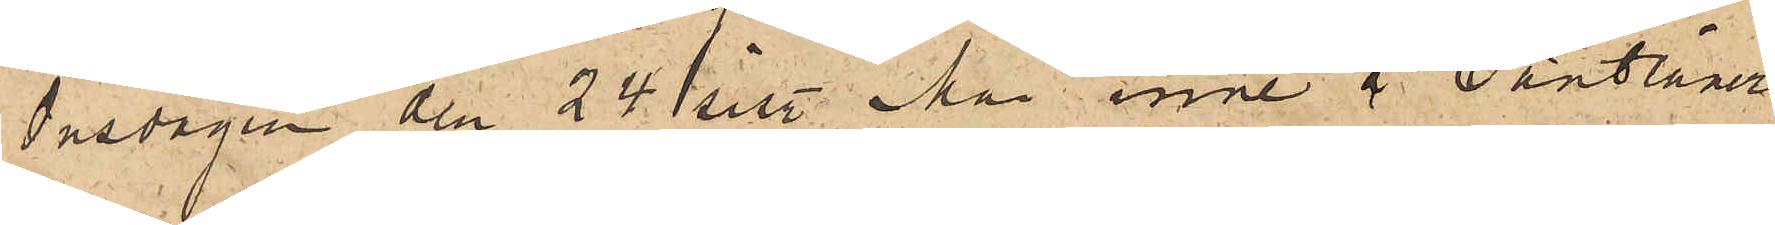Onsdagen den 24 sist. Mai inne å Pantlåner¬
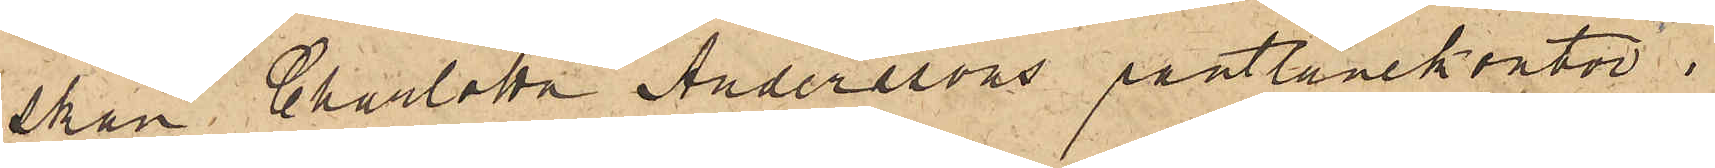skan Charlotta Anderssons pantlånekontor i
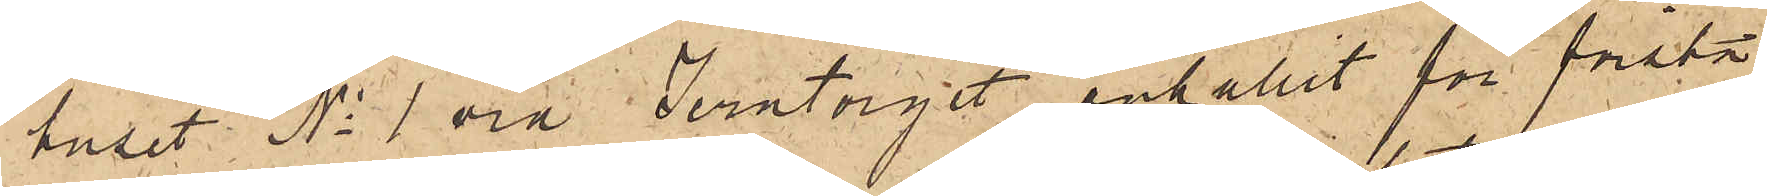huset No 1 vid Jerntorget anhållit för första
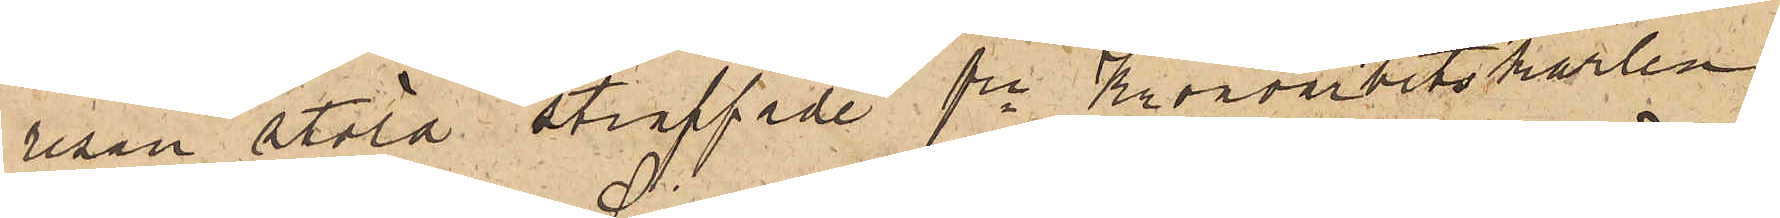resan stöld straffade fre Kronoarbetskarlen
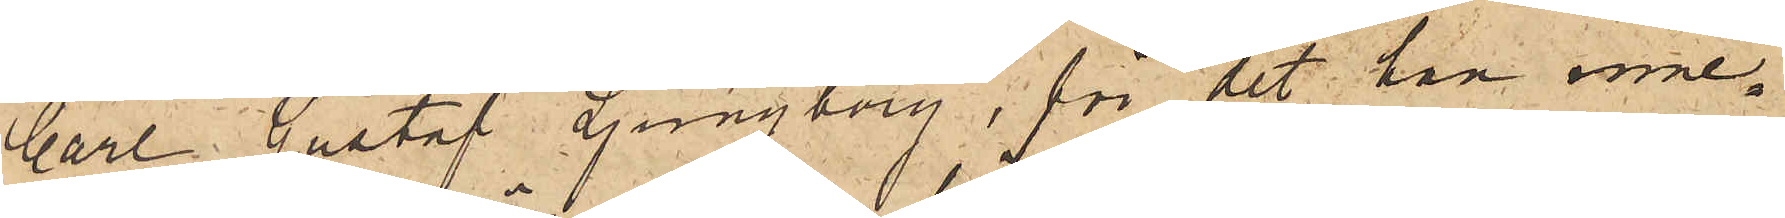Carl Gustaf Ljungberg, för det han inne¬
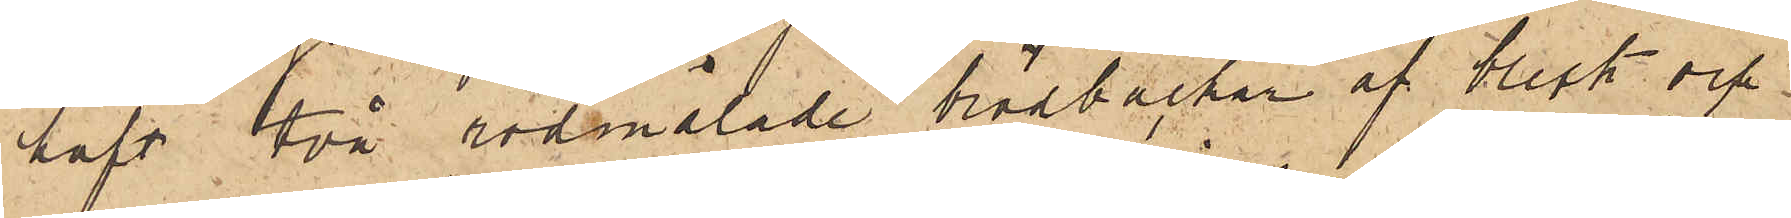haft två rödmålade brödbackar af bleck och
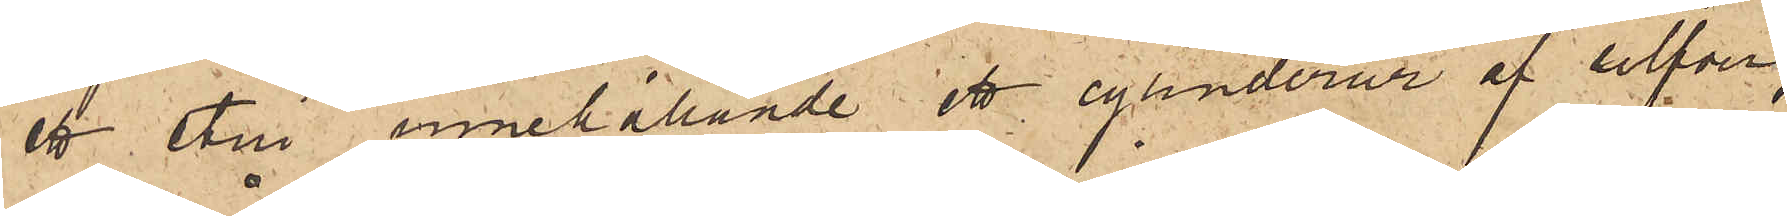ett etui innehållande ett cylinderur af silfver,
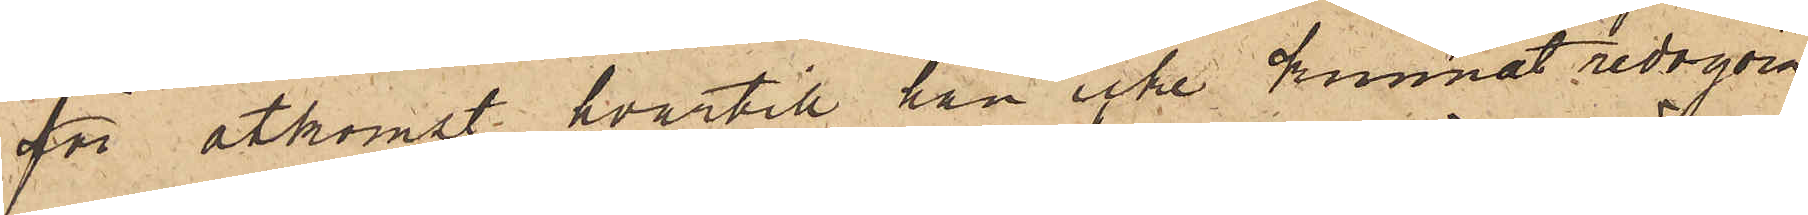för åtkomst hvartill han icke kunnat redogöra.
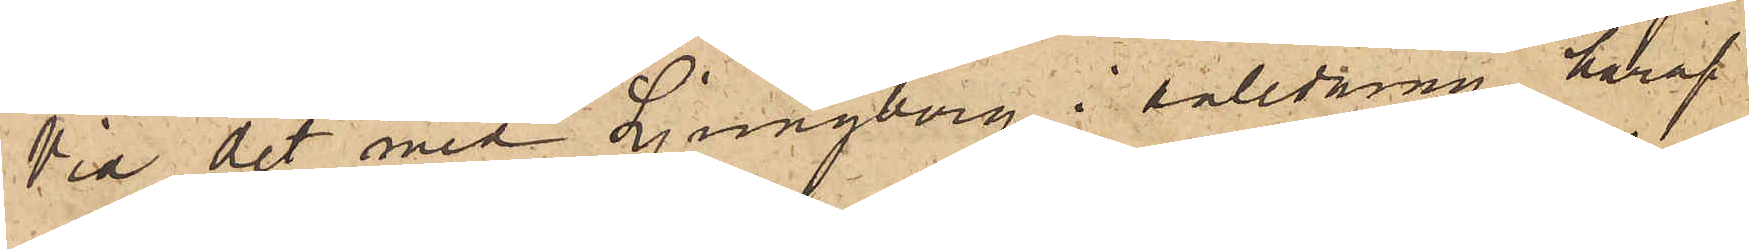Vid det med Ljungberg i anledning häraf
